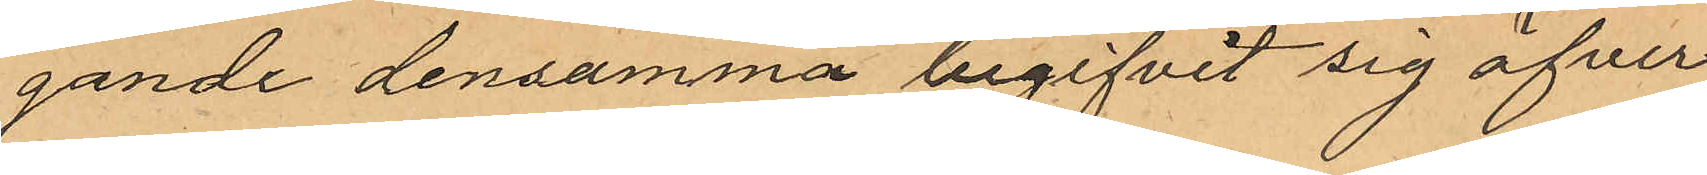gande densamma begifvit sig öfver
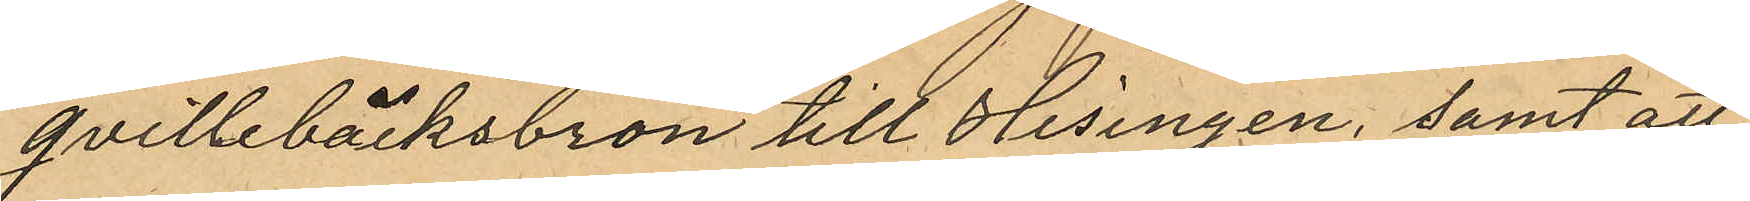qvillebäcksbron till Hisingen, samt att
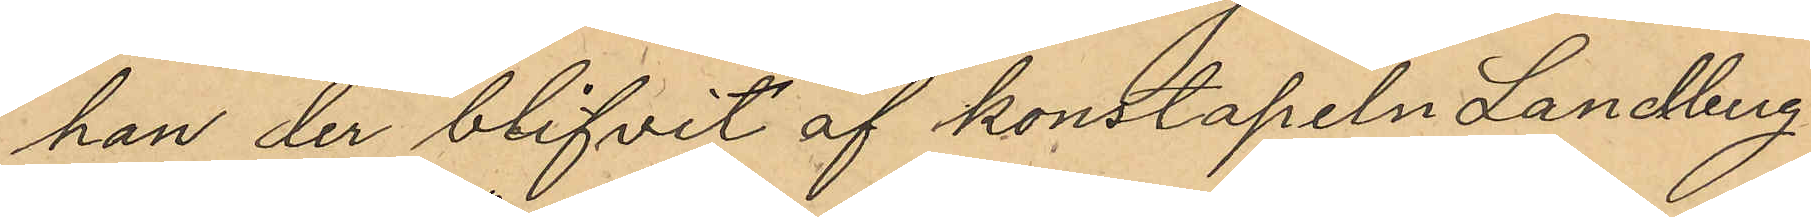han der blifvit af konstapeln Landberg
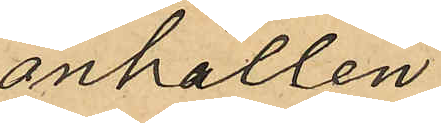anhållen.
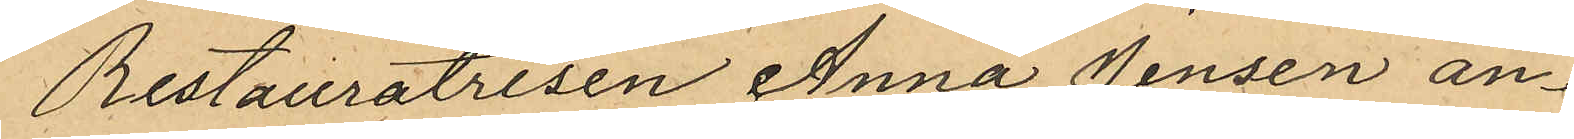Restauratrisen Anna Jensen an¬
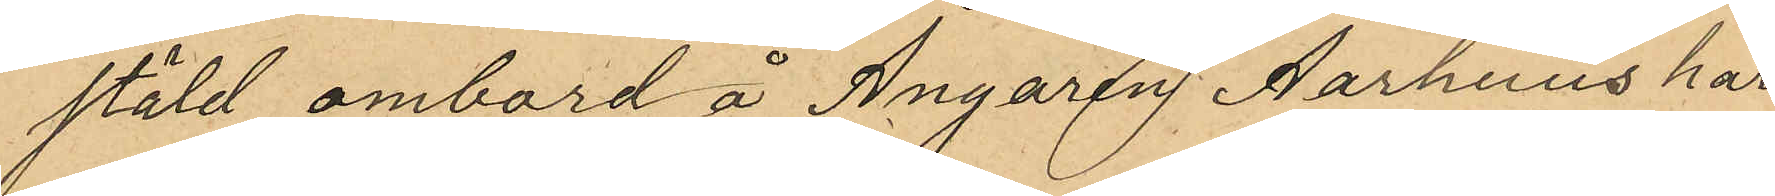stäld ombord å Ångaren Aarhuus har
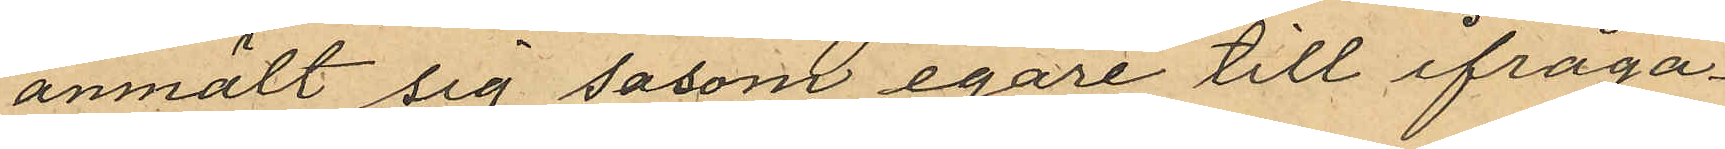anmält sig såsom egare till ifråga¬
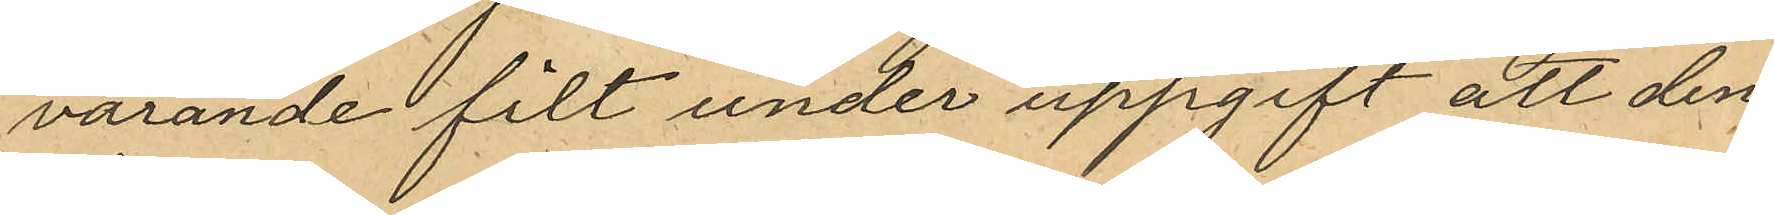varande filt under uppgift att den¬
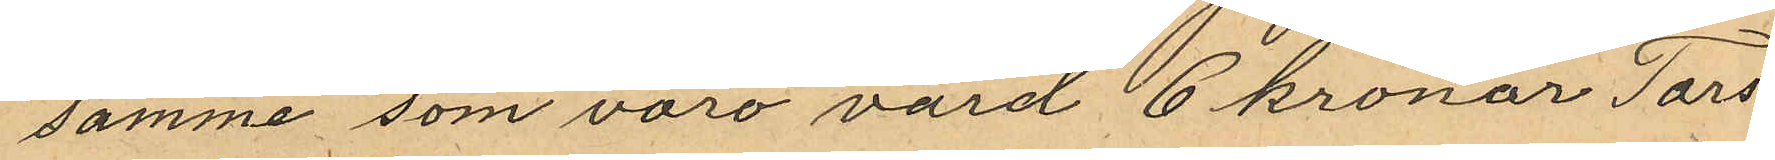samme som voro värd 6 kronor Tors¬
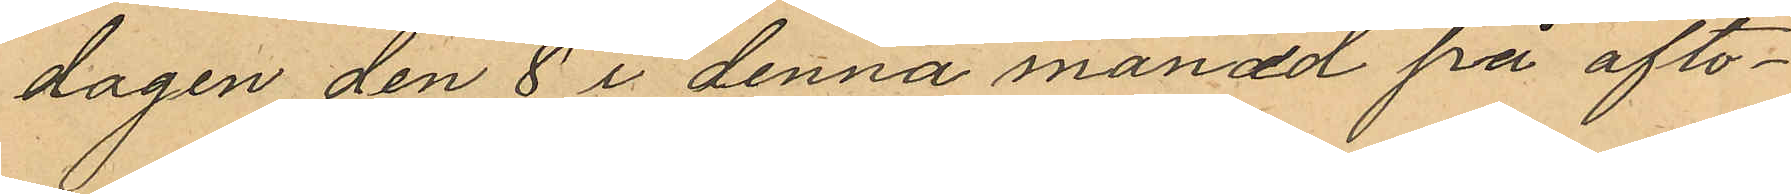dagen den 8 i denna månad på afto¬
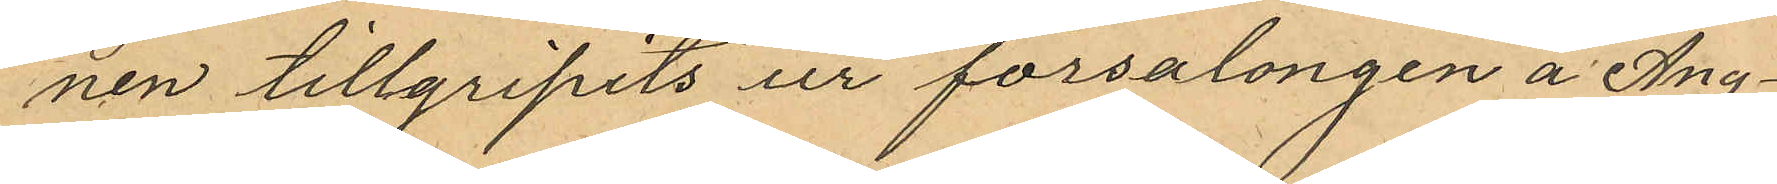nen tillgripits ur försalongen å Ång¬
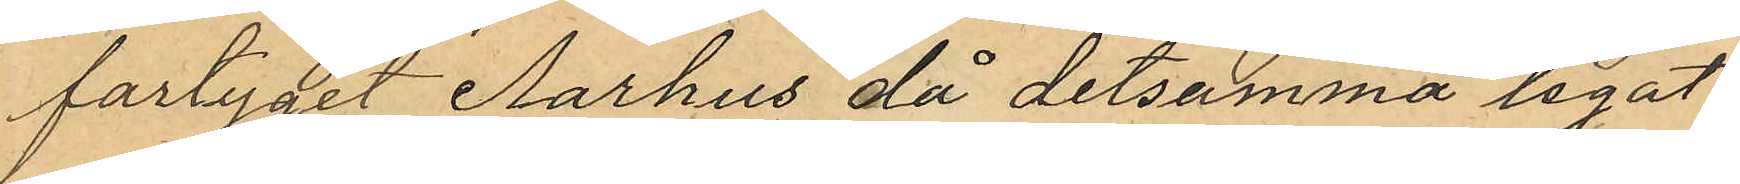fartyget Aarhus då detsamma legat
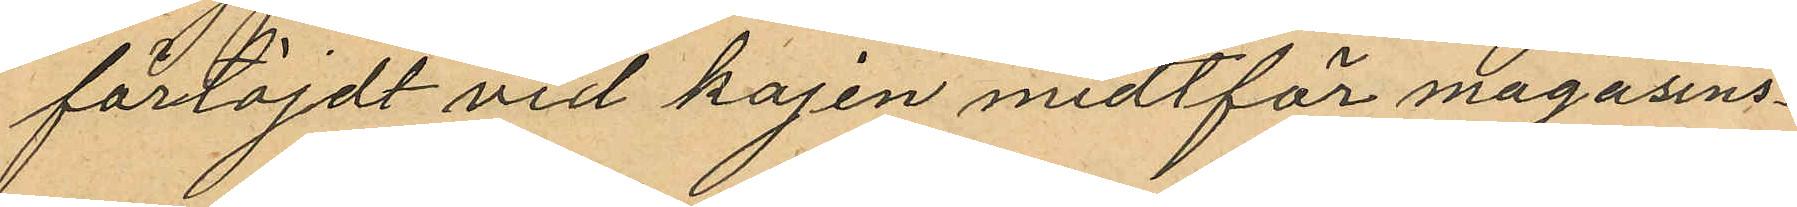förtöjdt vid kajen midtför magasins¬
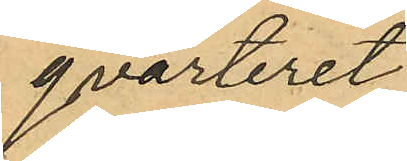qvarteret
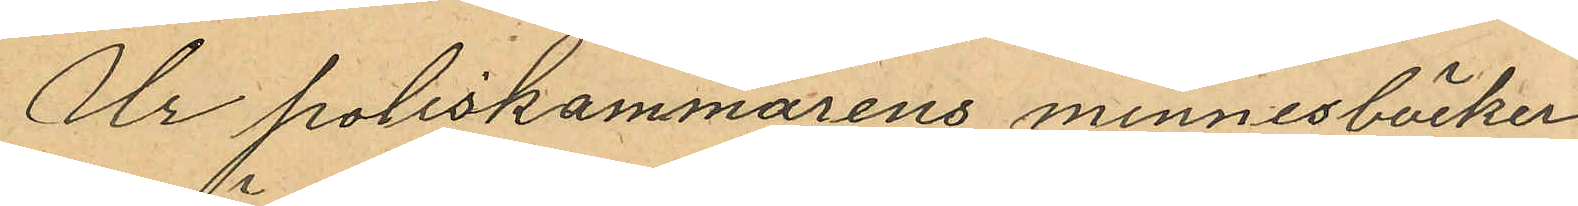Ur Poliskammarens minnesböcker
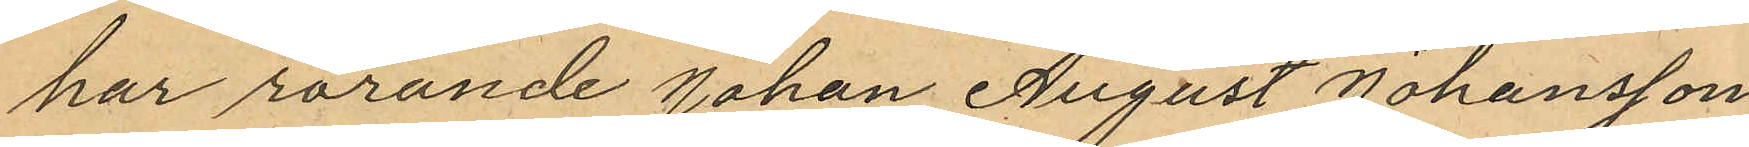har rörande Johan August Johansson
